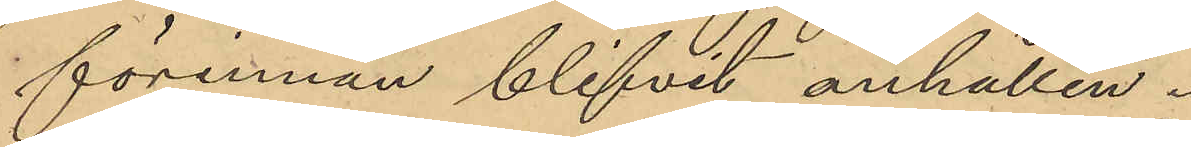förinnan blifvit anhållen.
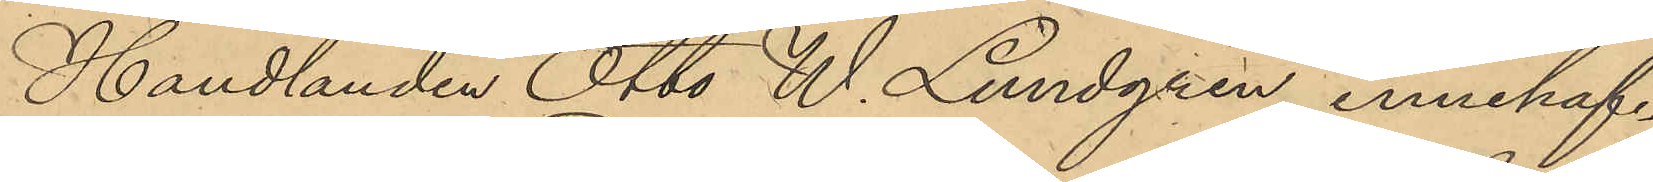Handlanden Otto W. Lundgren innehaf¬
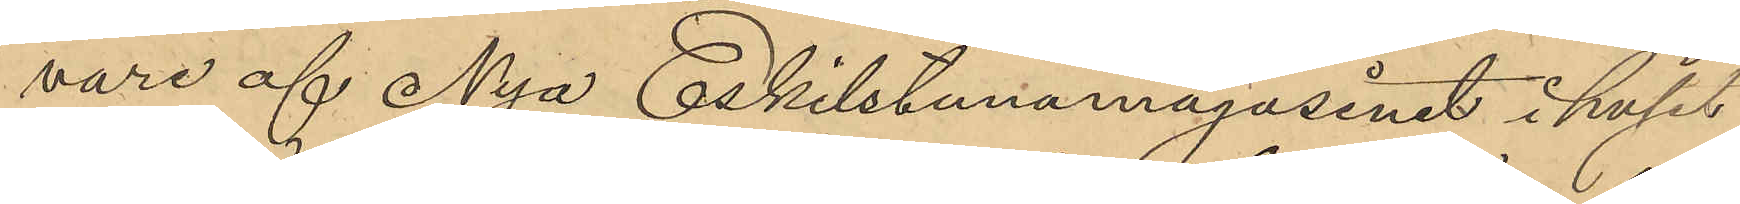vare af Nya Eskilstunamagasinet i huset
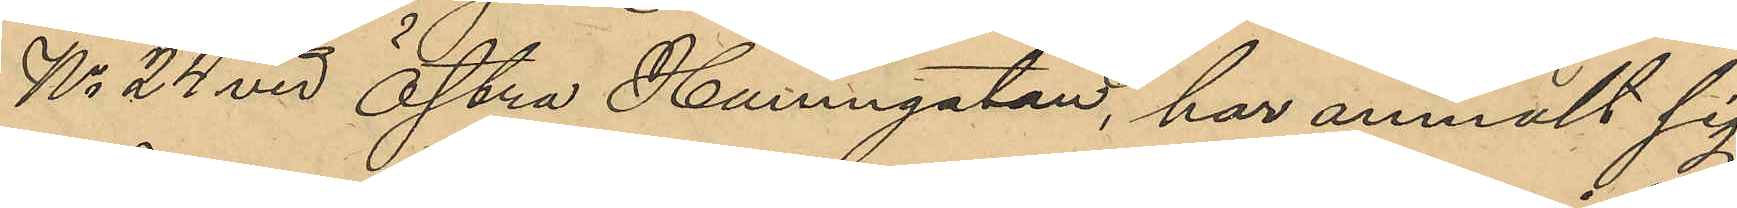No 24 vid Östra Hamngatan, har anmält sig
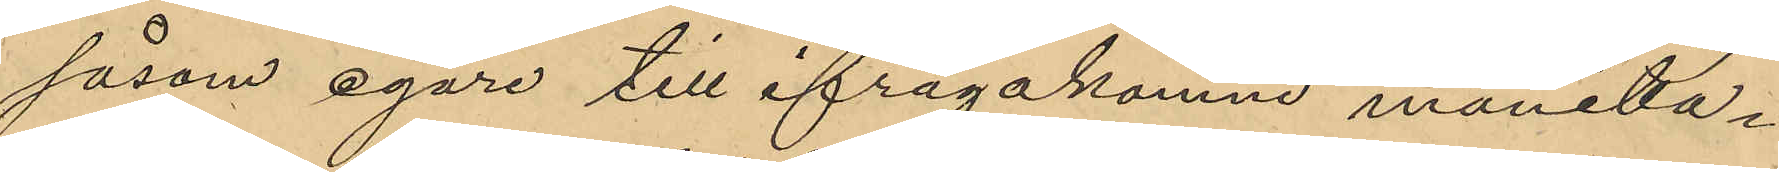såsom egare till ifrågakomne manilla¬
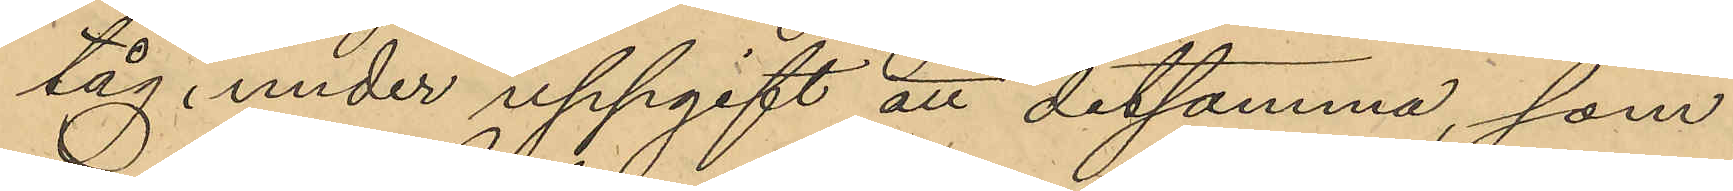tåg under uppgift att detsamma, som
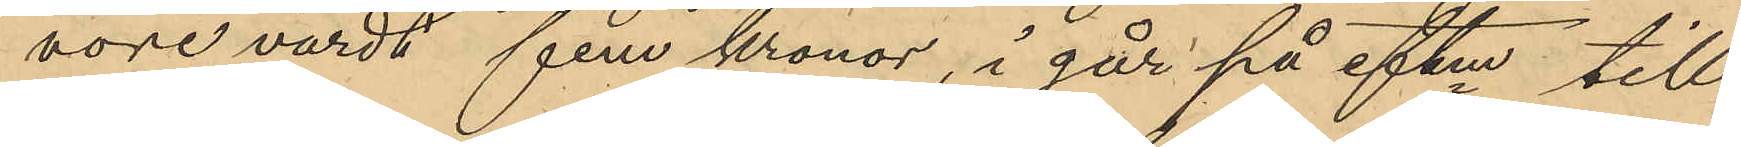vore värdt fem kronor, i går på eftm till¬
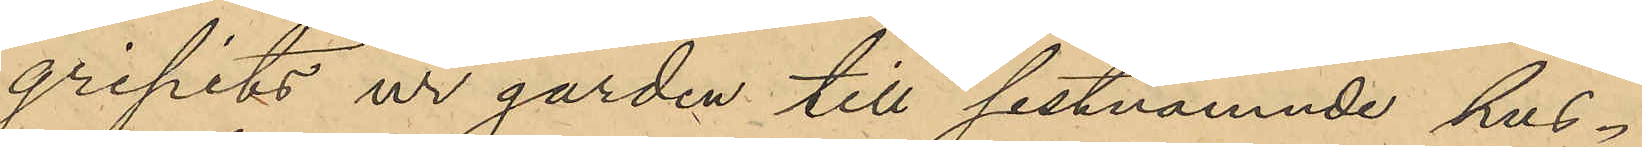gripits ur gården till sistnämnde hus¬
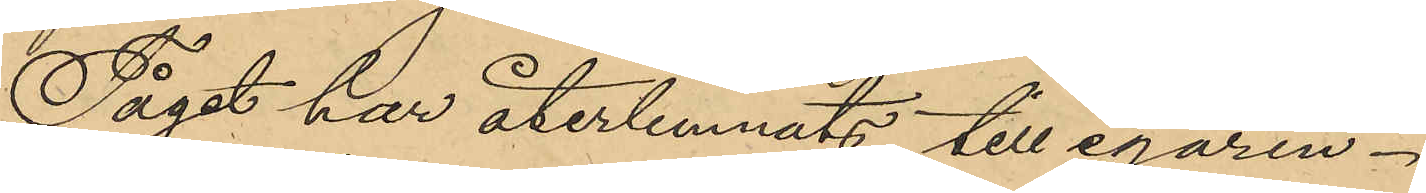Tåget har återlemnats till egaren.
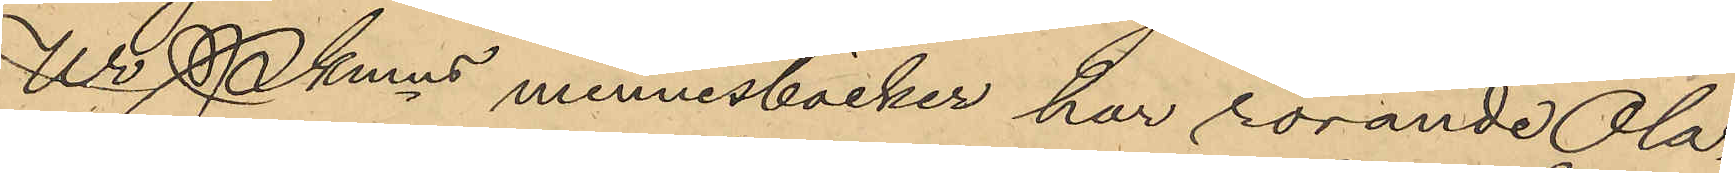Ur Pkmns minnesböcker har rörande Ola¬
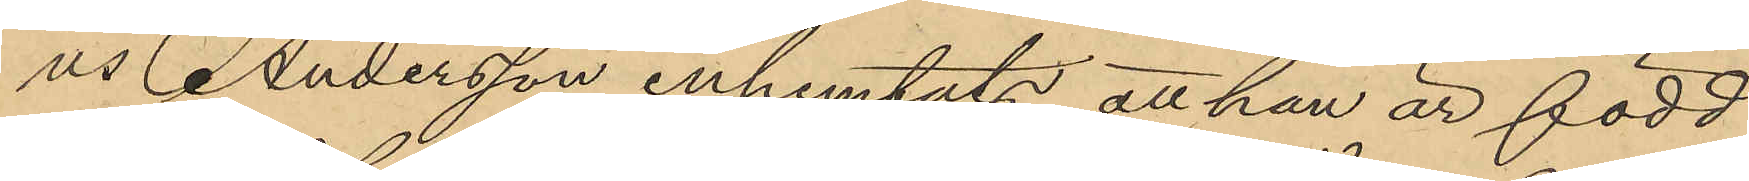us Andersson inhemtats att han är född
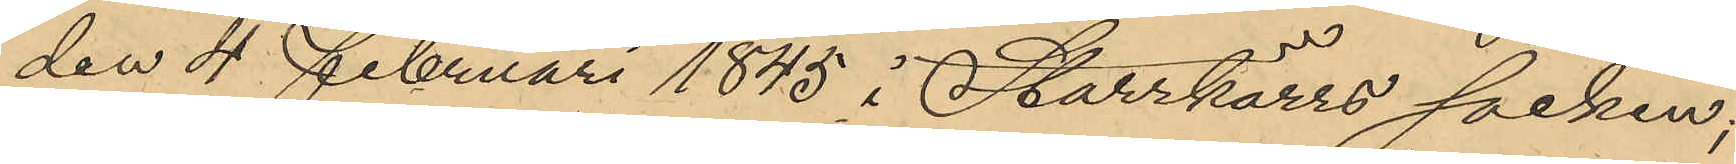den 4 Februari 1845 i Starrkärrs socken;
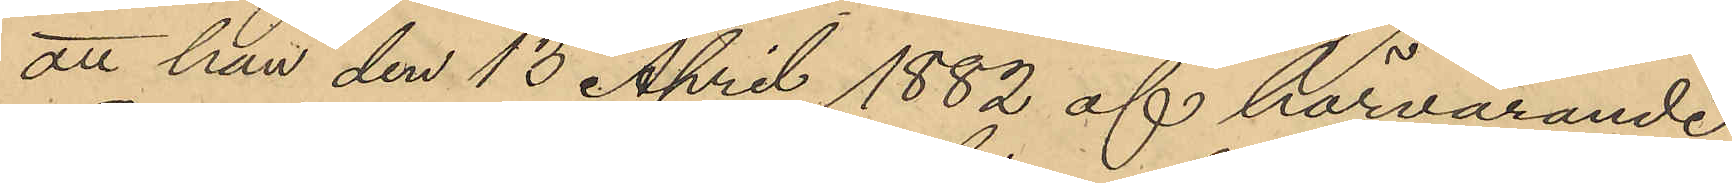att han den 13 April 1882 af härvarande
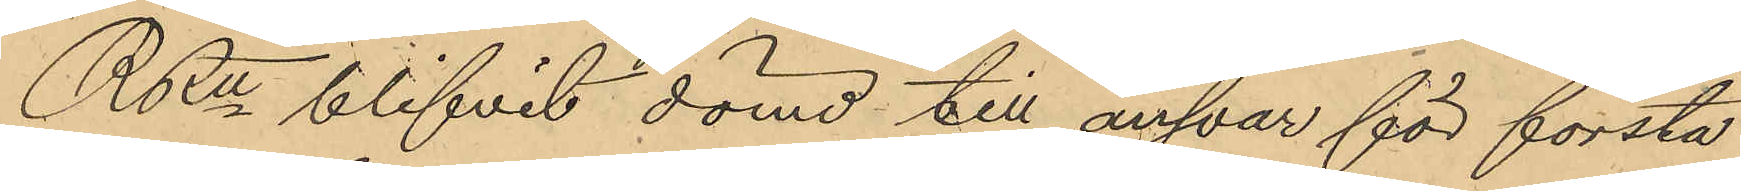RRätt blifvit dömd till ansvar för första
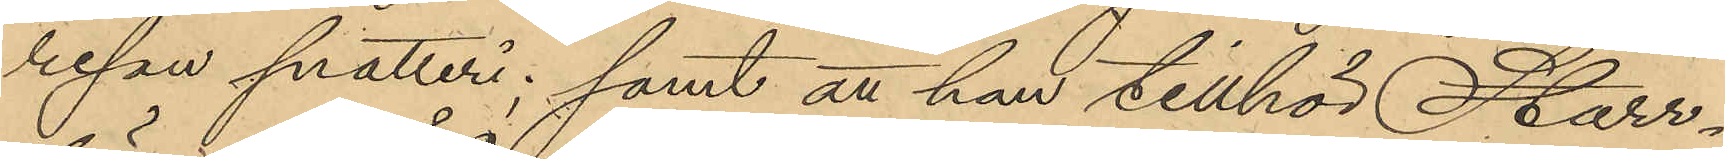resan snatteri; samt att han tillhör Starr¬
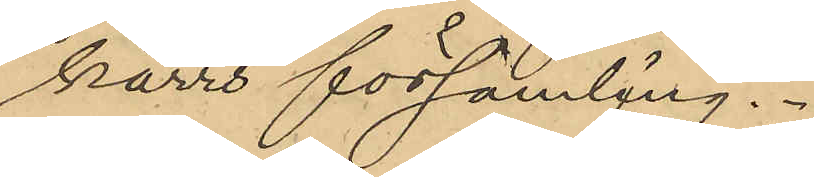kärrs församling.
